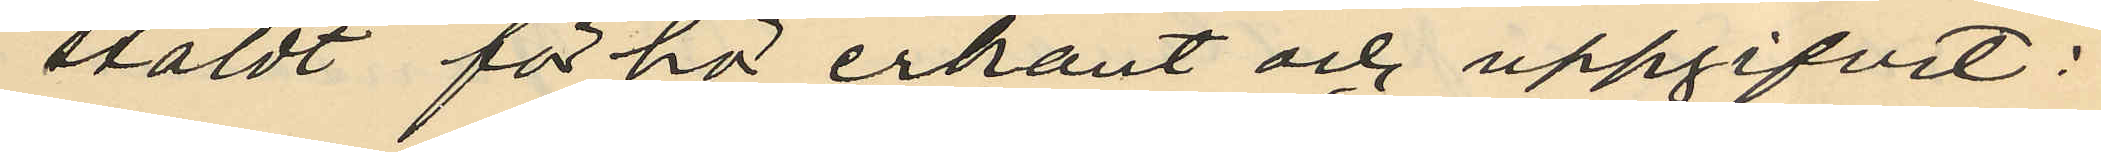stäldt förhör erkänt och uppgifvit:
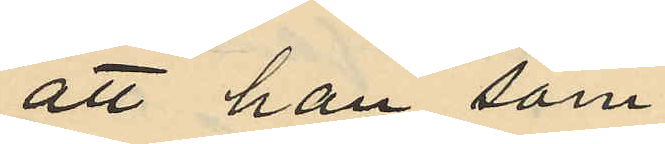att han, som
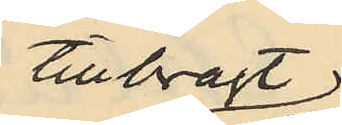tillbragt
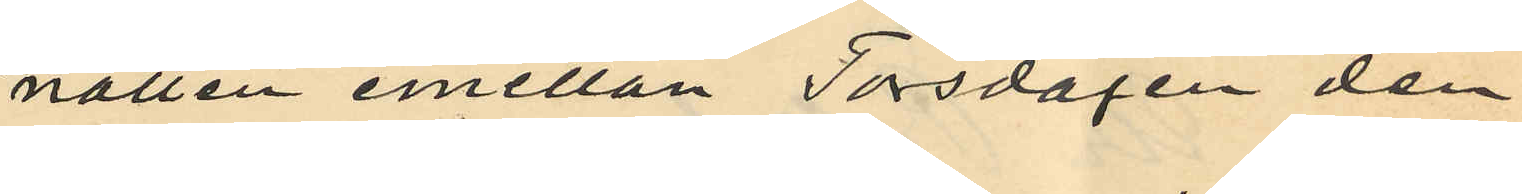natten emellan Torsdagen den
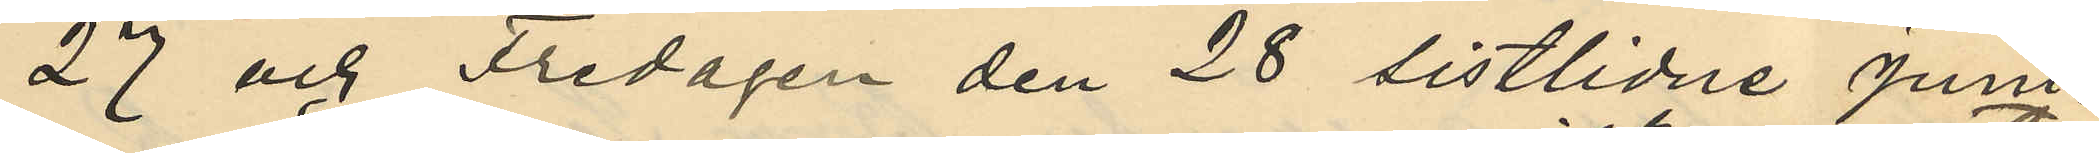27 och Fredagen den 28 sistlidne Juni
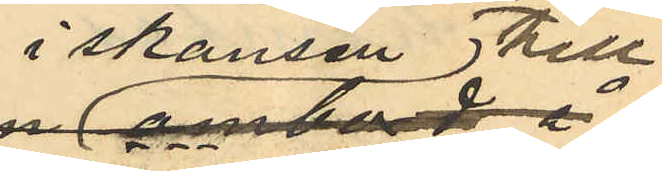i skansen till
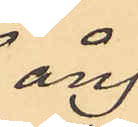ång¬
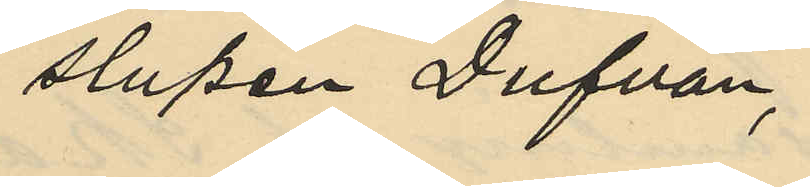slupen Dufvan,
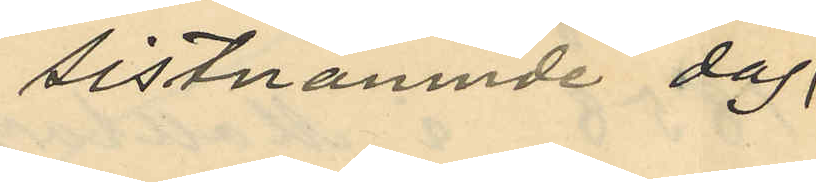sistnämnde dag.
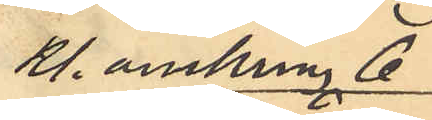Kl. omkring 6
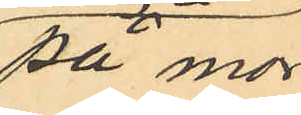på mor¬
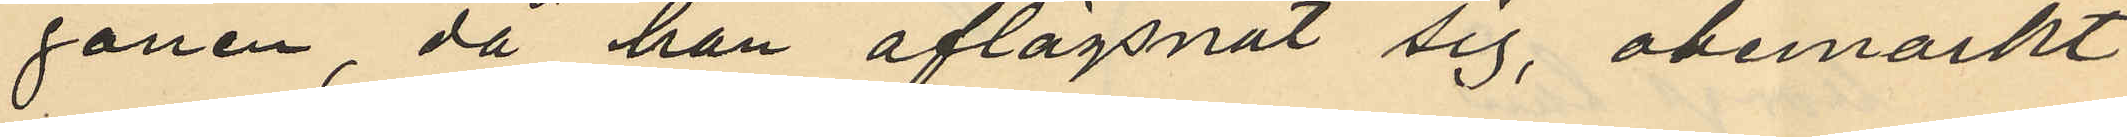gonen, då han aflägsnat sig, obemärkt
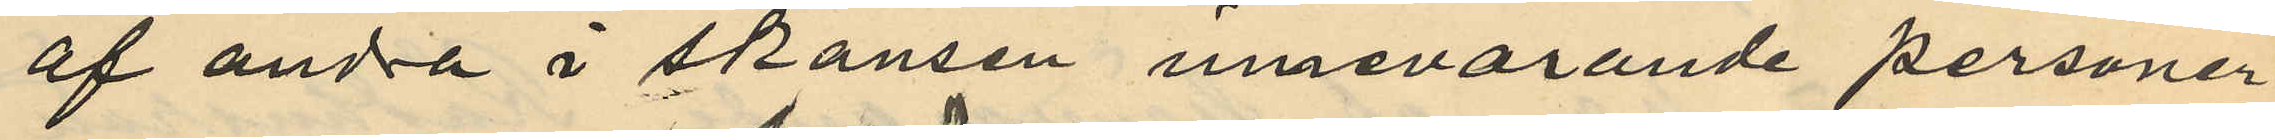af andra i skansen innevarande personer
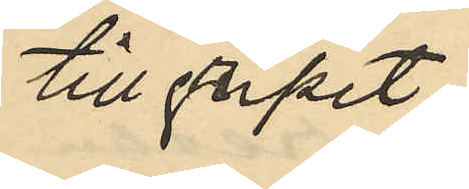tillgripit
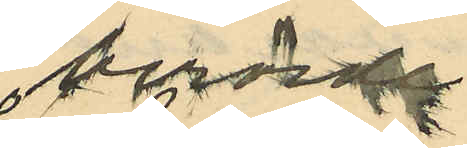berörda
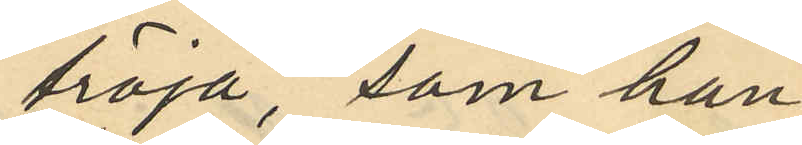tröja, som han
